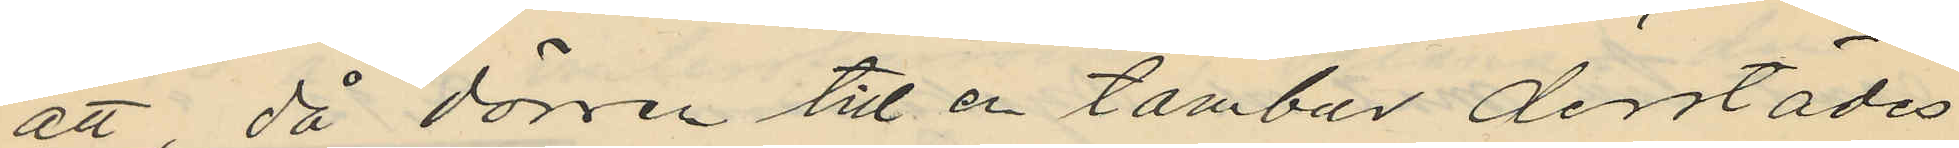att, då dörren till en tambur derstädes
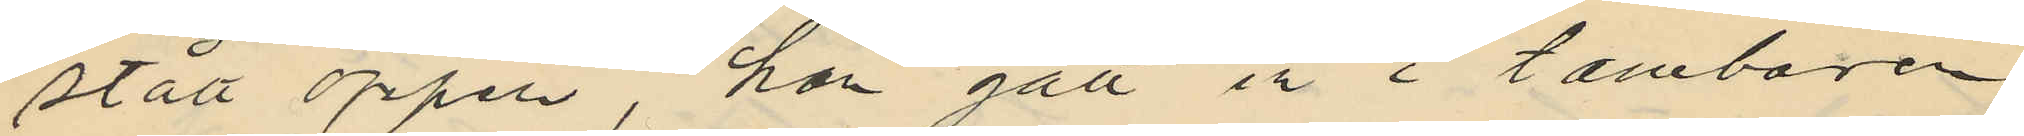stått öppen, han gått in i tamburen
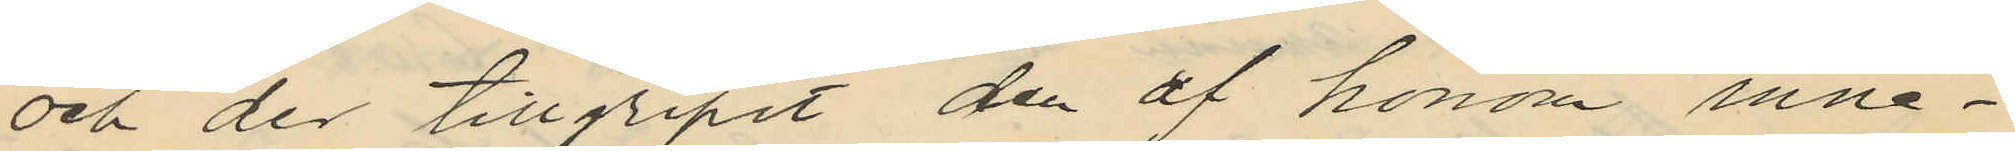och der tillgripit den af honom inne¬
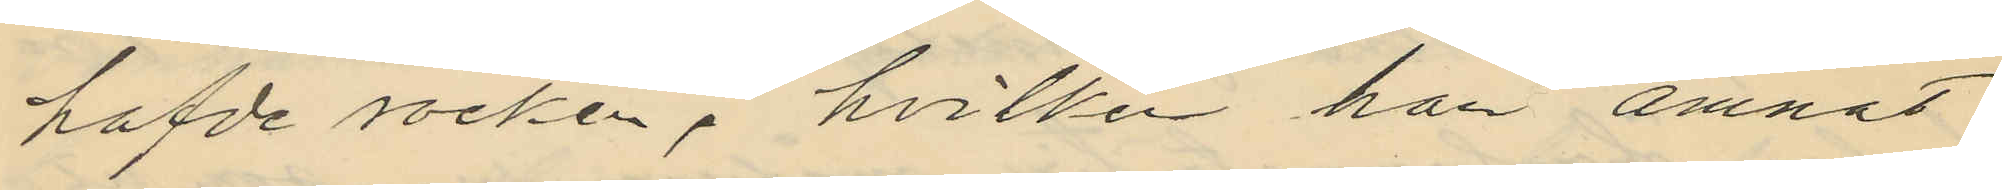hafde rocken, hvilken han ämnat
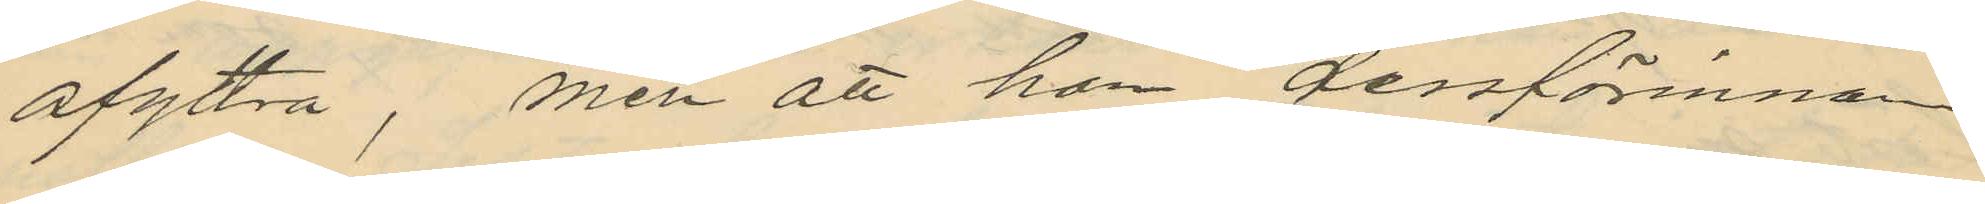afyttra, men att han dessförinnan
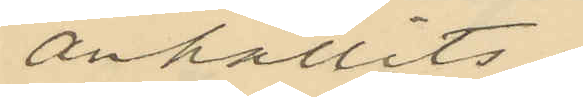anhållits.
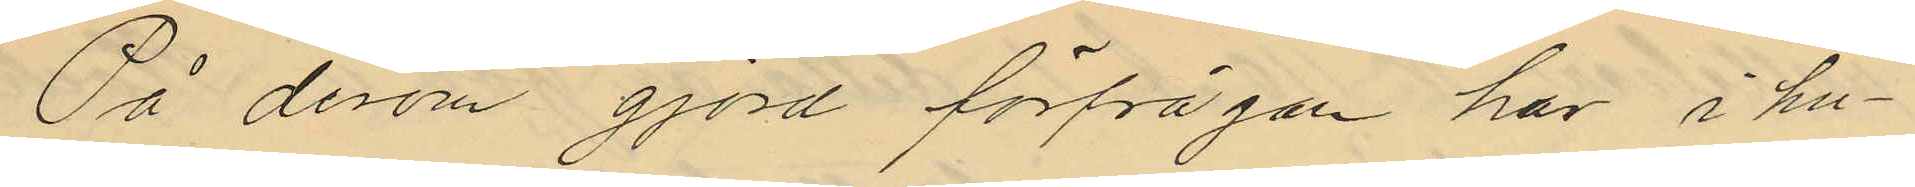På derom gjort förfrågan har i hu¬
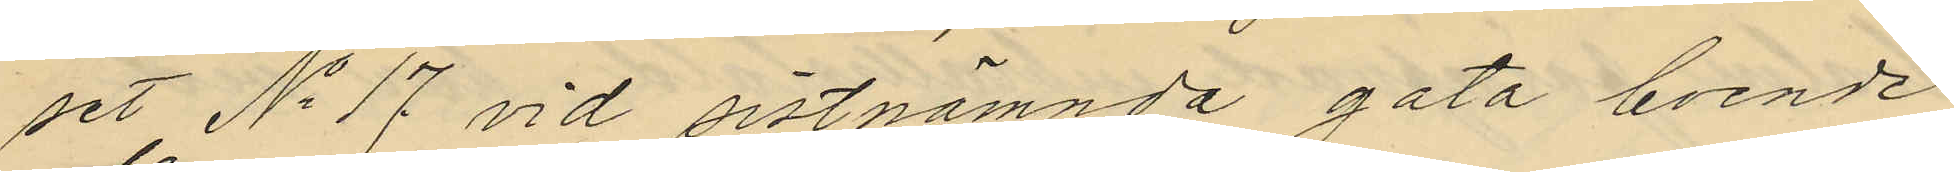set No 17 vid sistnämnda gata boende
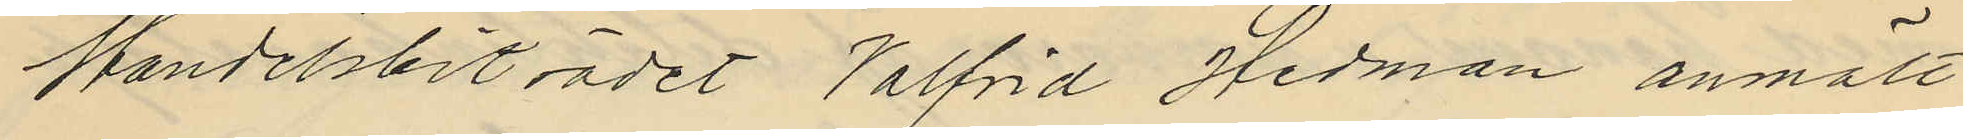Handelsbiträdet Valfrid Hedman anmält
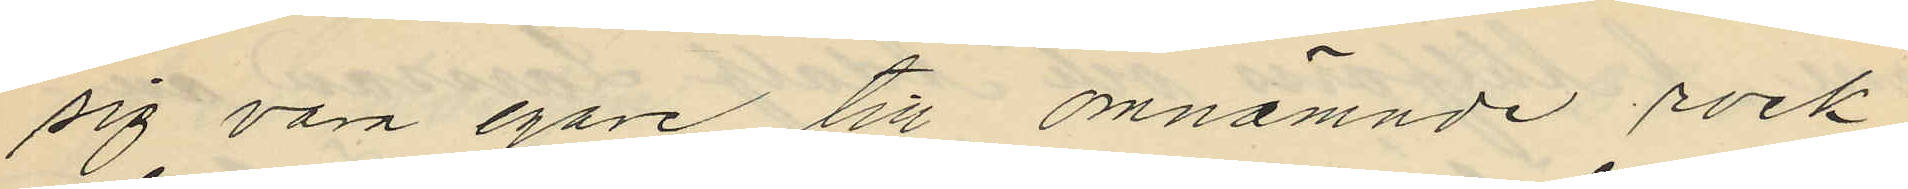sig vara egare till omnämnde rock
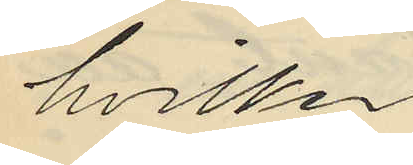hvilken
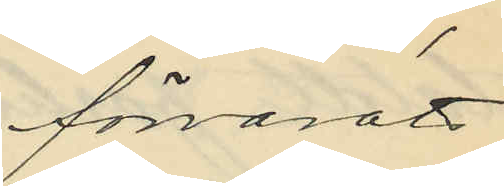förvarats
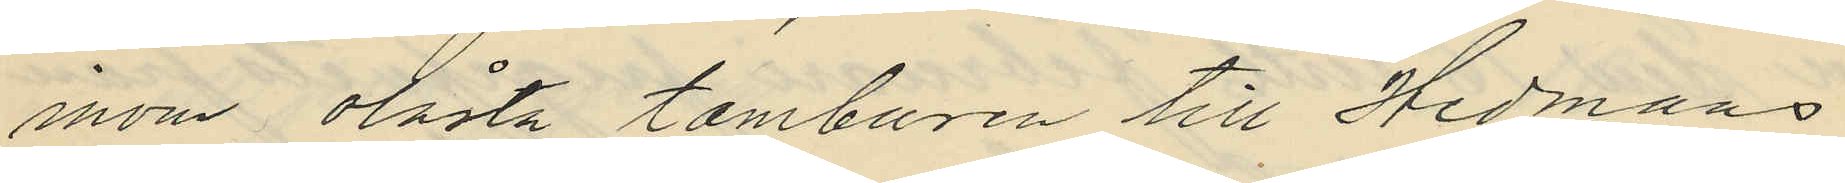inom olåsta tamburen till Hedmans
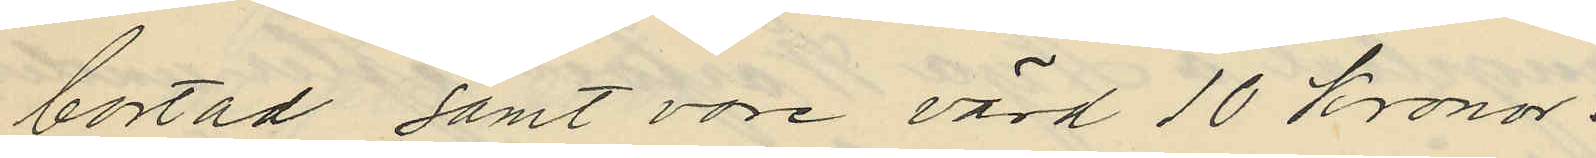bostad samt vore värd 10 kronor.
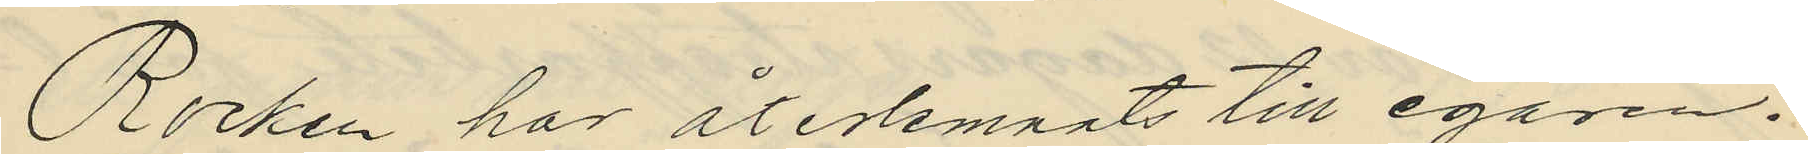Rocken har återlemnats till egaren.
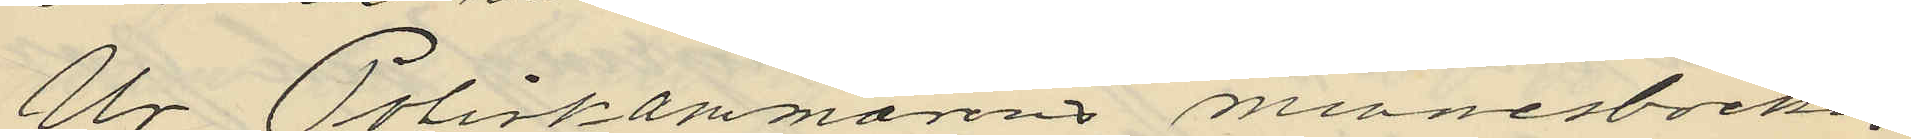Ur Poliskammarens minnesböcker
